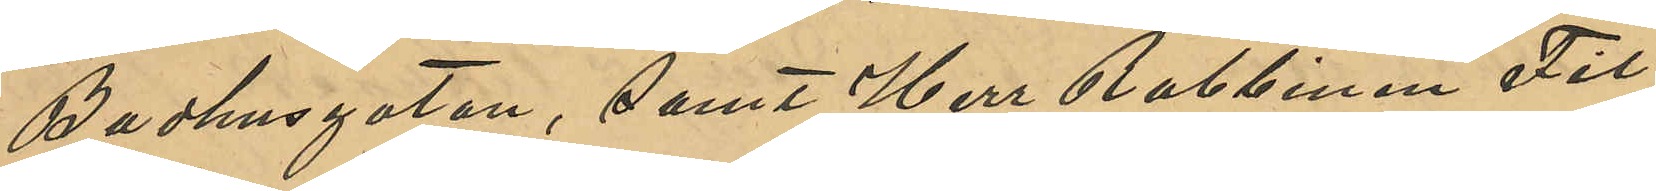Badhusgatan, samt Herr Rabbinen Fil.
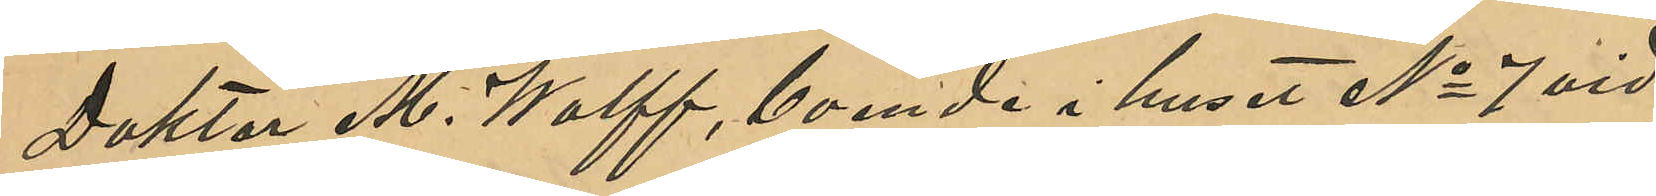Doktor M. Wolff, boende i huset No 7 vid
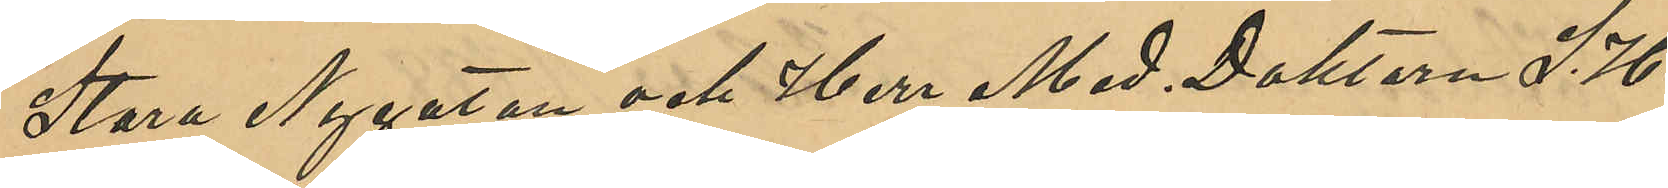Stora Nygatan och Herr Med. Doktoren S. H.
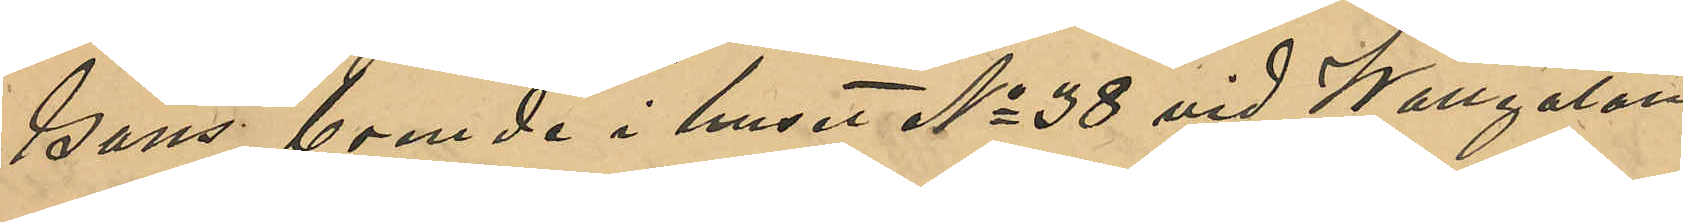Gans, boende i huset No 38 vid Wallgatan,
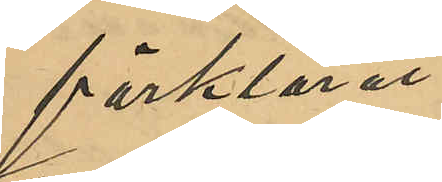förklarat:
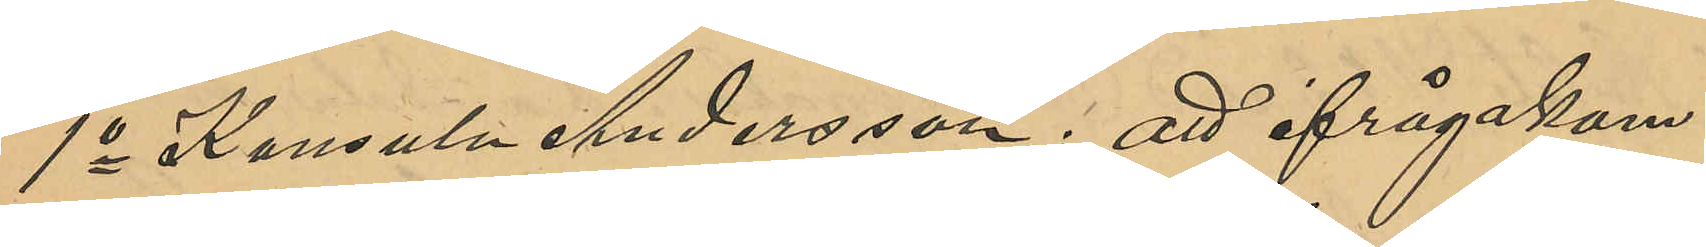1o Konsuln Andersson: att ifrågakom¬
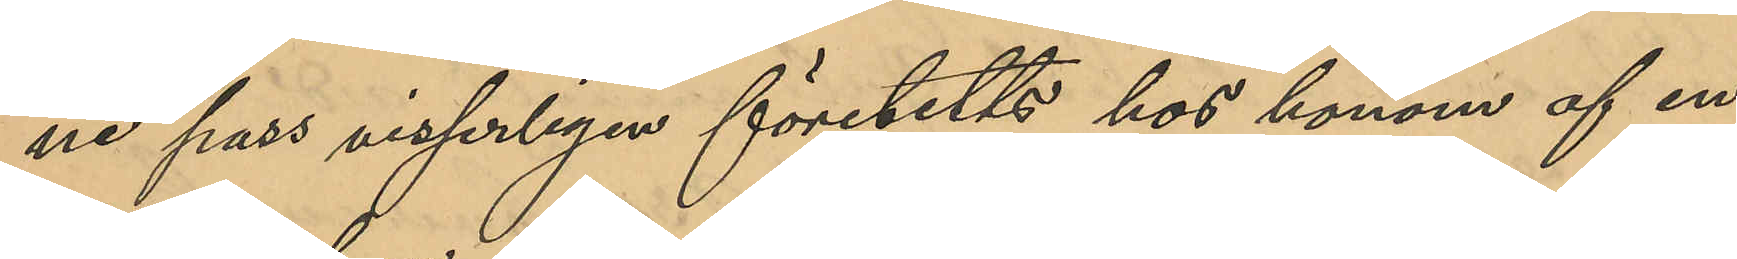ne pass visserligen företetts hos honom af en
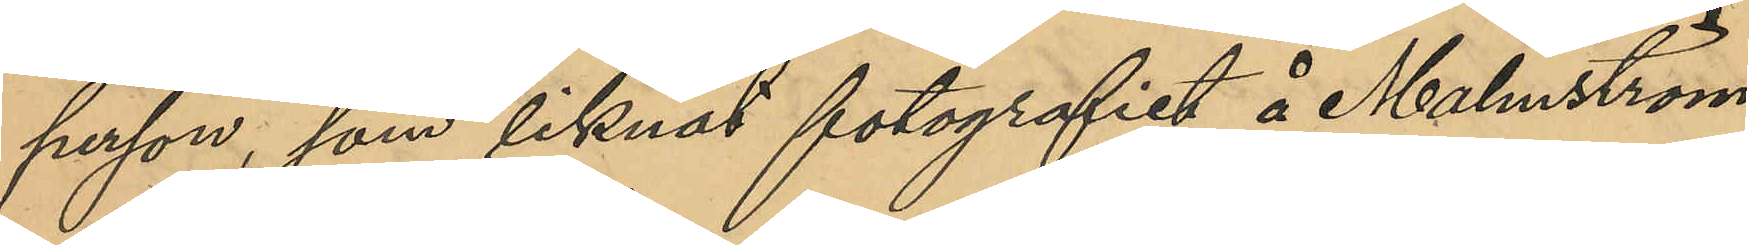person, som liknat fotografiet å Malmström,
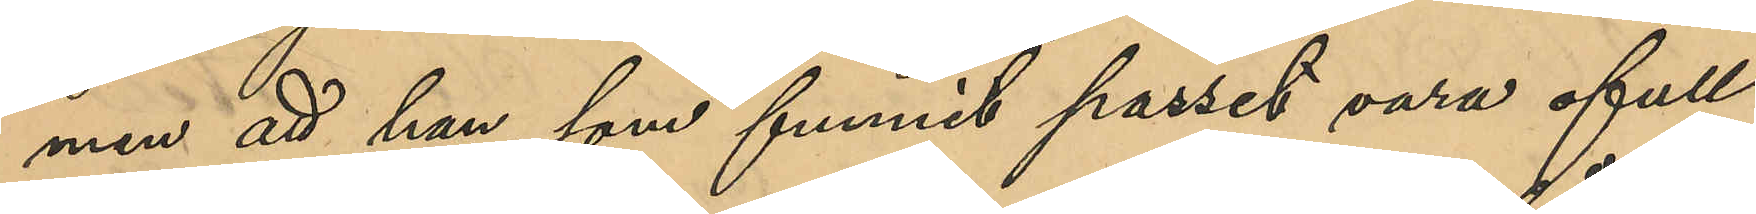men att han som funnit passet vara ofull¬
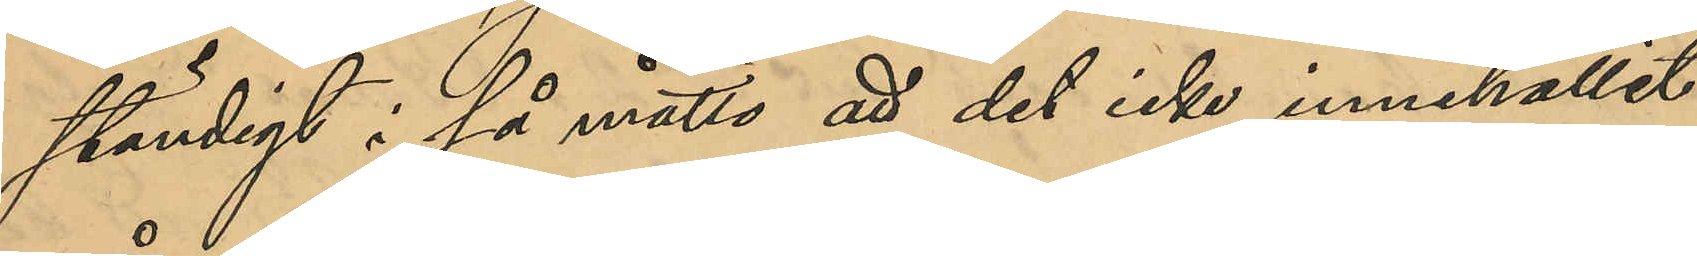ständigt i så måtto att det icke innehållit
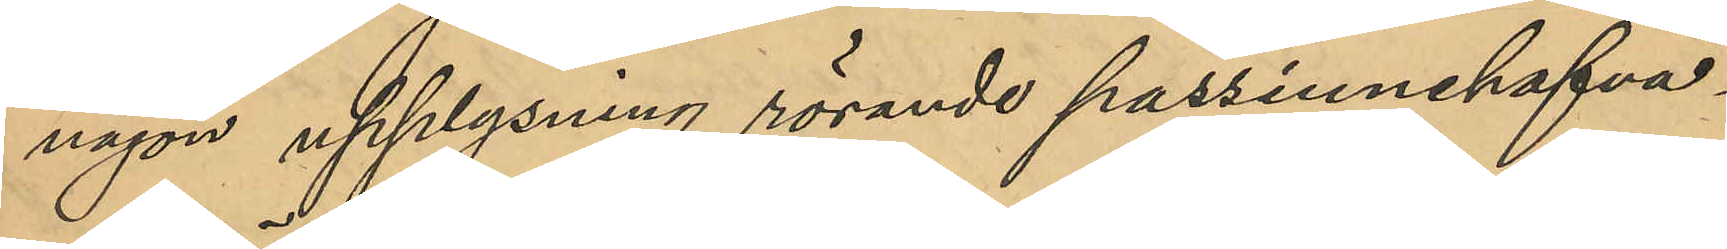någon upplysning rörande passinnehafva¬
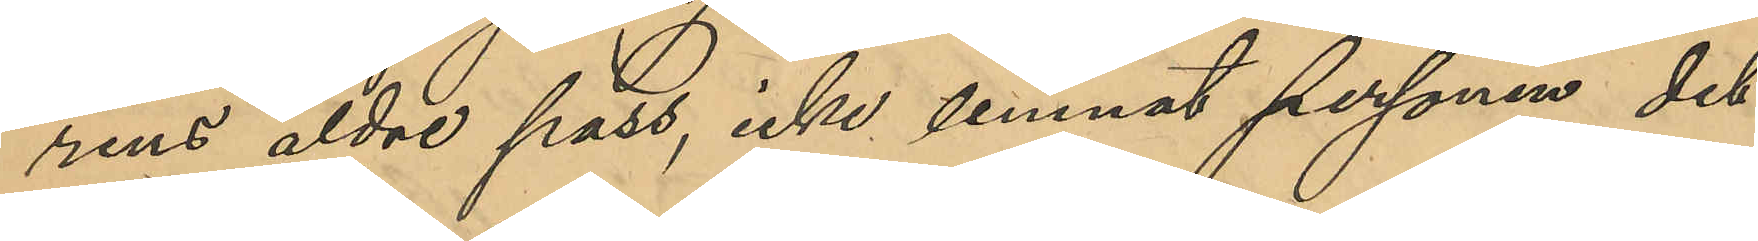rens äldre pass, icke lemnat personen det
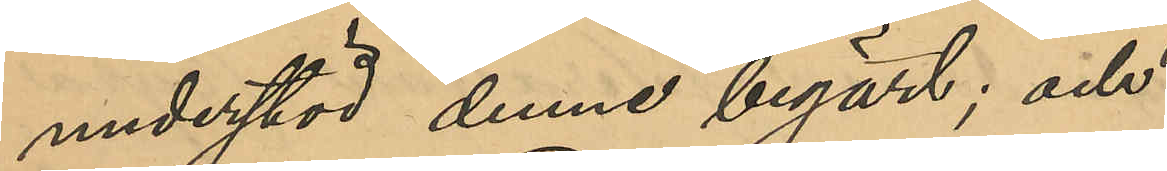understöd han begärt; och
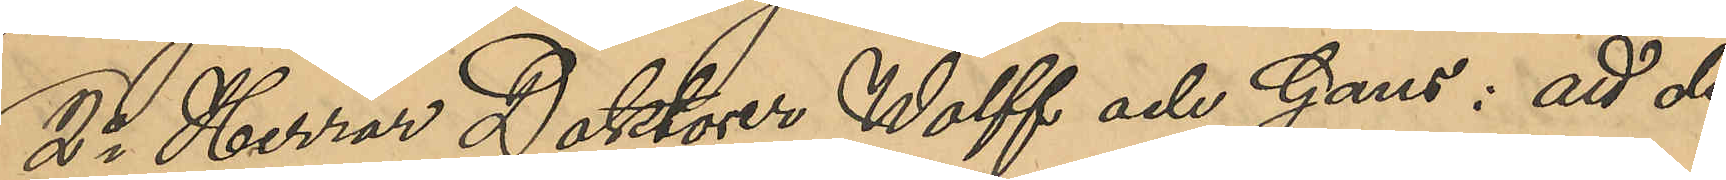2o Herrar Doktorer Wolff och Gans: att de
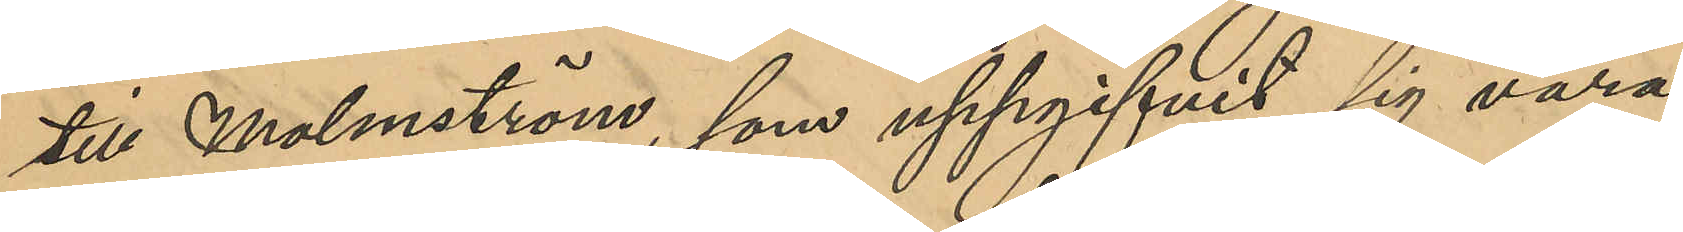till Malmström, som uppgifvit sig vara
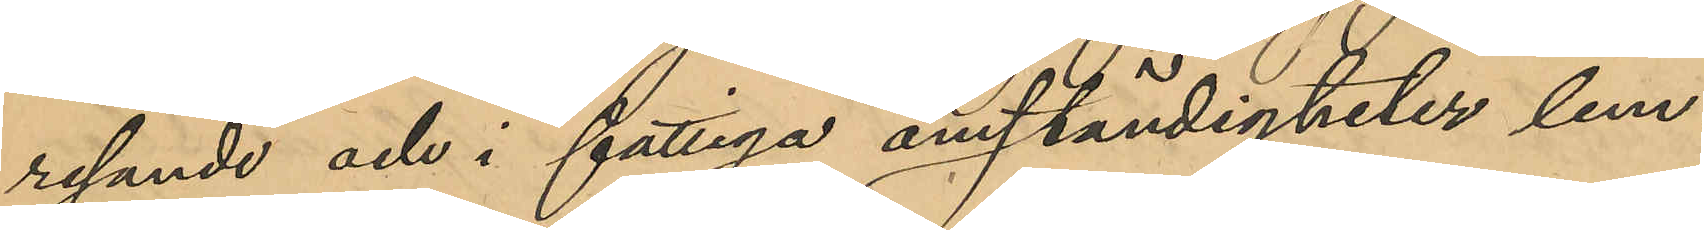resande och i fattiga omständigheter lem¬
